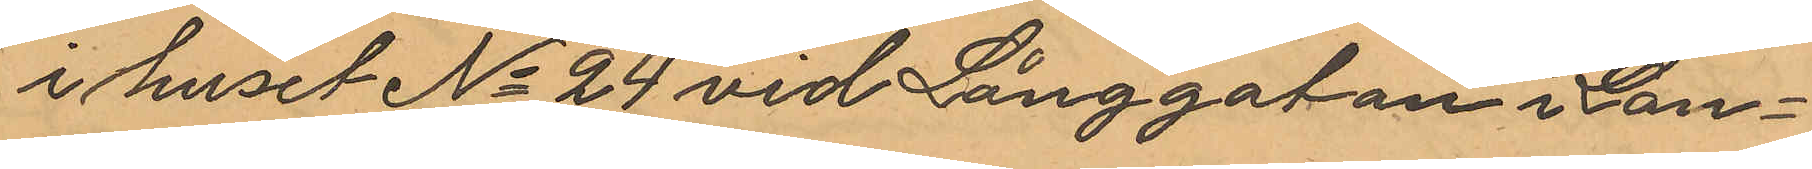i huset No 24 vid Långgatan i Lan¬
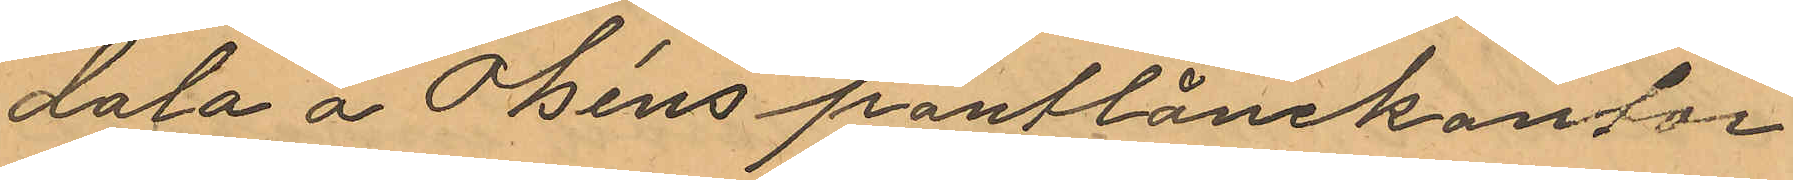dala å Olséns pantlånekontor
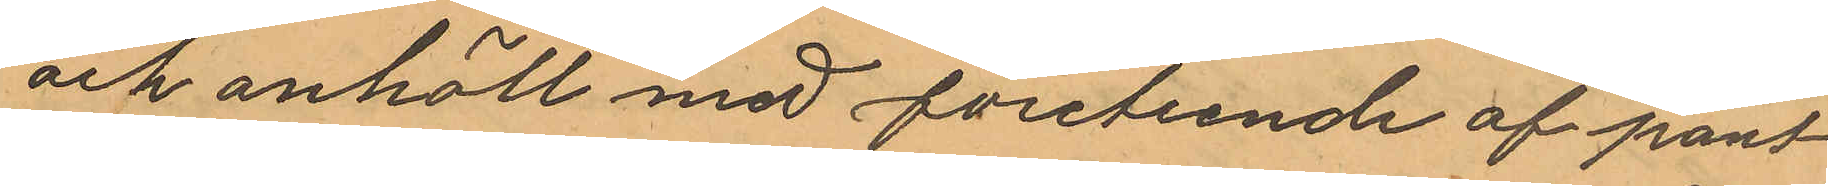och anhöll med företeende af pant¬
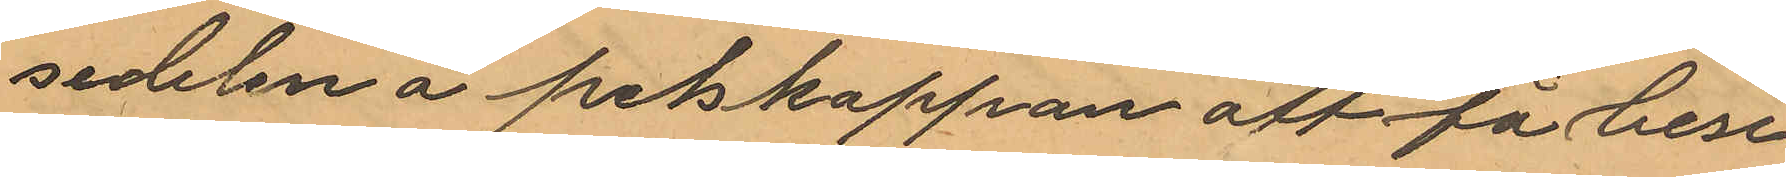sedelen å pelskappan aft få bese
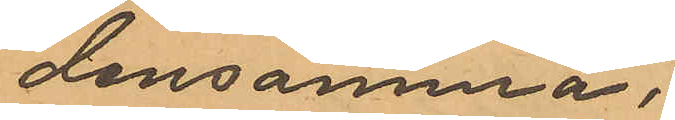densamma.
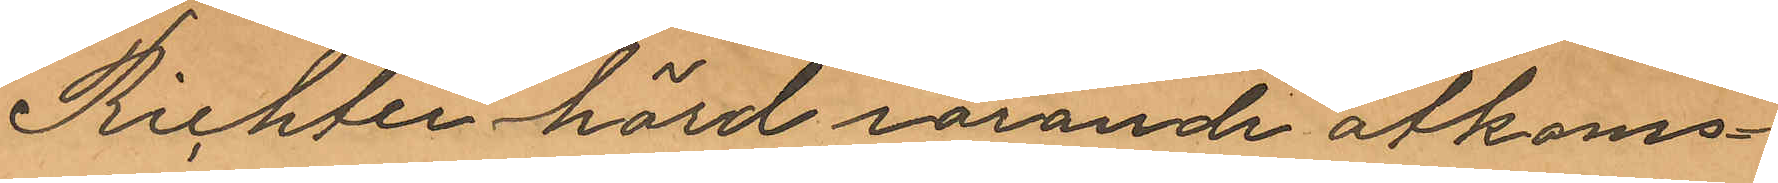Richter hörd rörande åtkoms¬
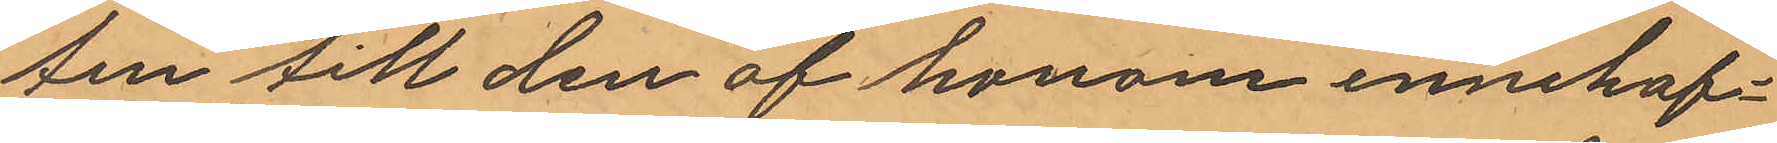ten till den af honom innehaf¬
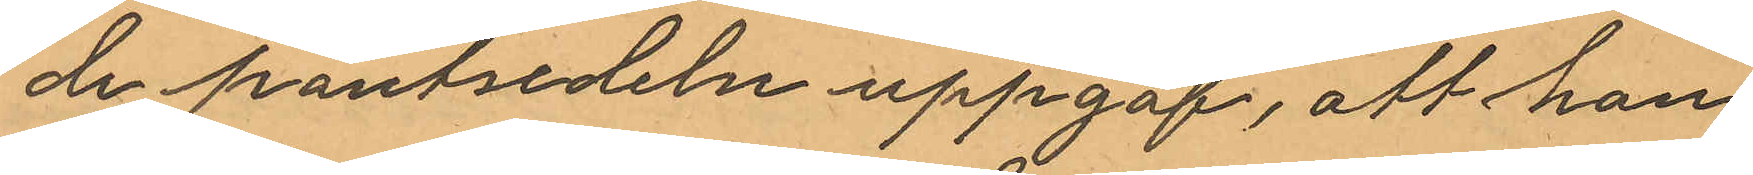de pantsedeln uppgaf, att han
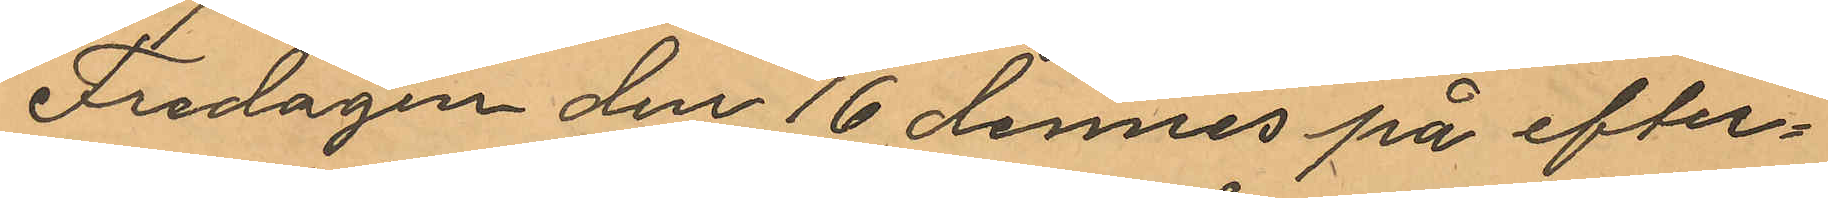Fredagen den 16 dennes på efter¬
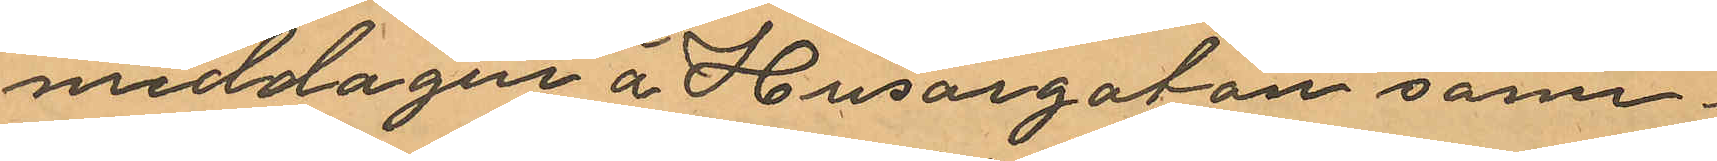middagen å Husargatan sam¬
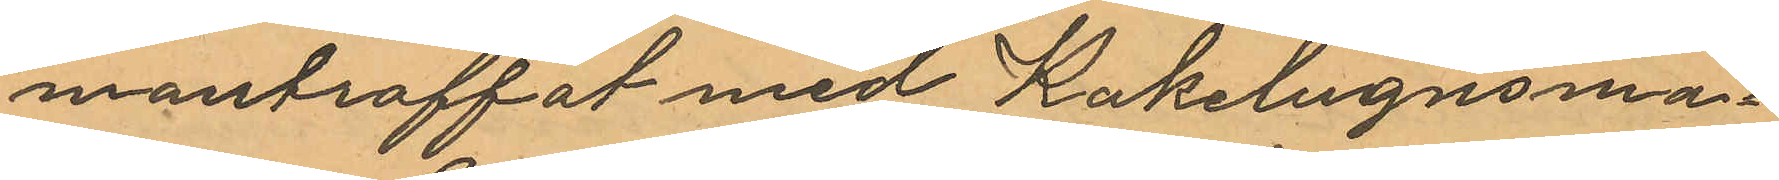manträffat med Kakelugnsma¬
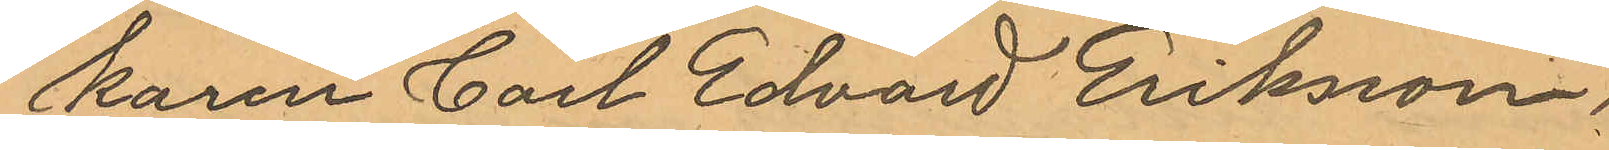karen Carl Edvard Eriksson,
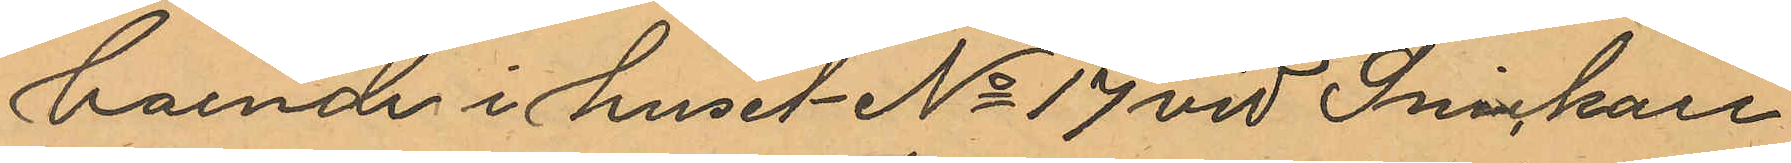boende i huset No 17 vid Snickare¬
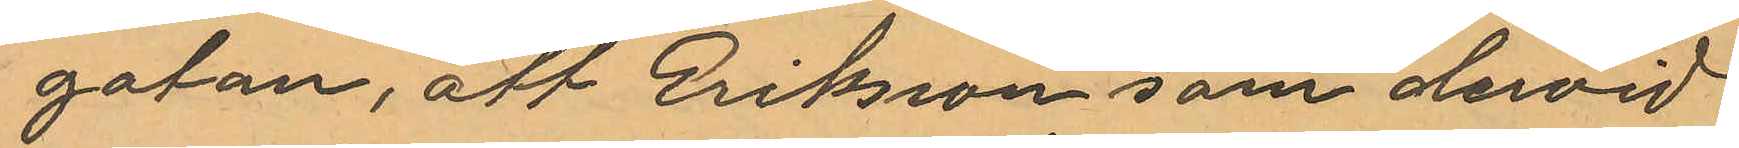gatan, att Eriksson som dervid
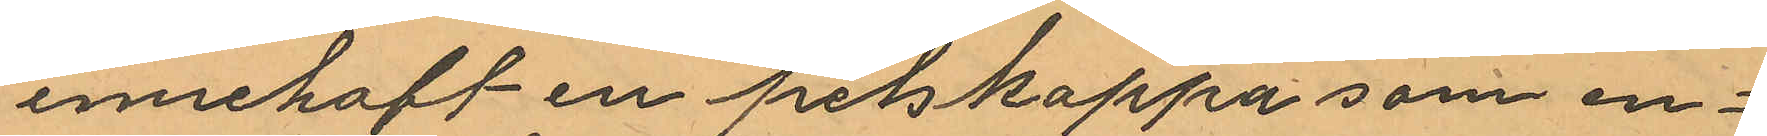innehaft en pelskappa som en¬
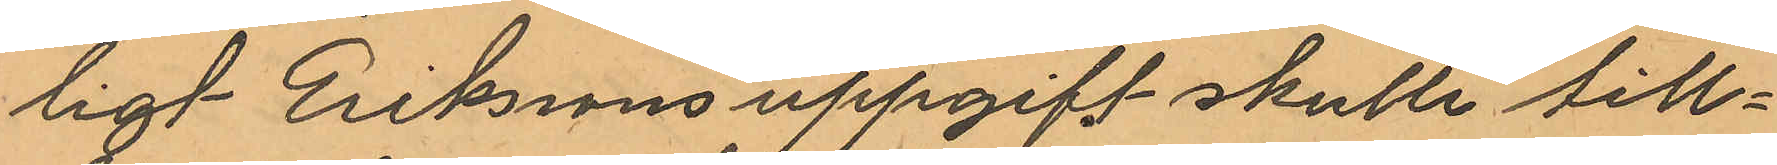ligt Erikssons uppgift skulle till¬
